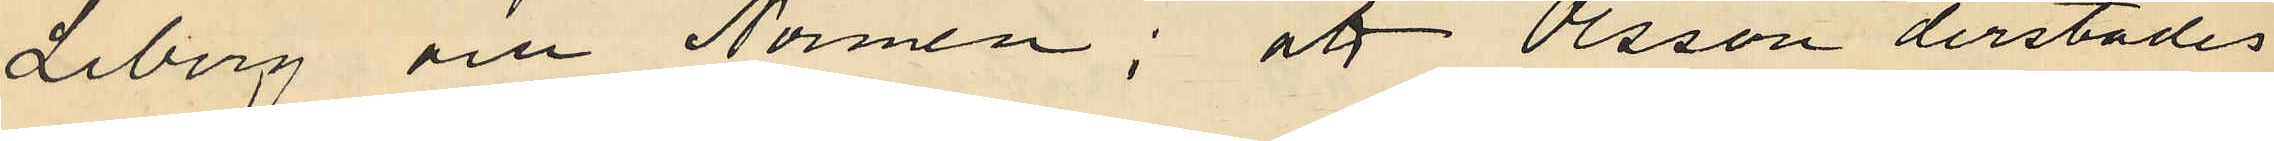Liberg och Normén; att Olsson derstädes
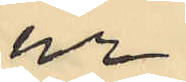ur
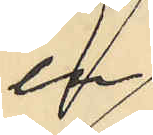en
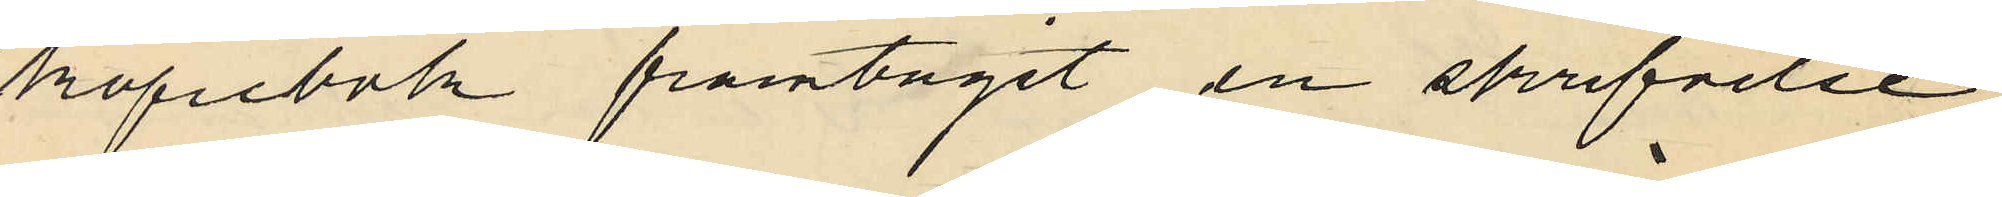kopiebok framtagit en skrifvelse
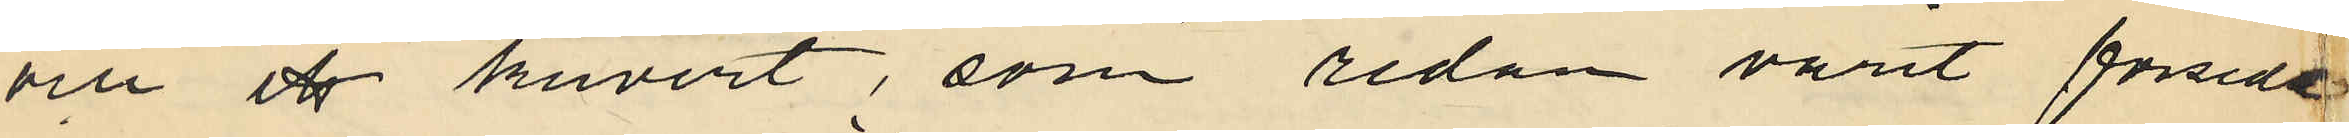och ett kuvert, som redan varit försedd
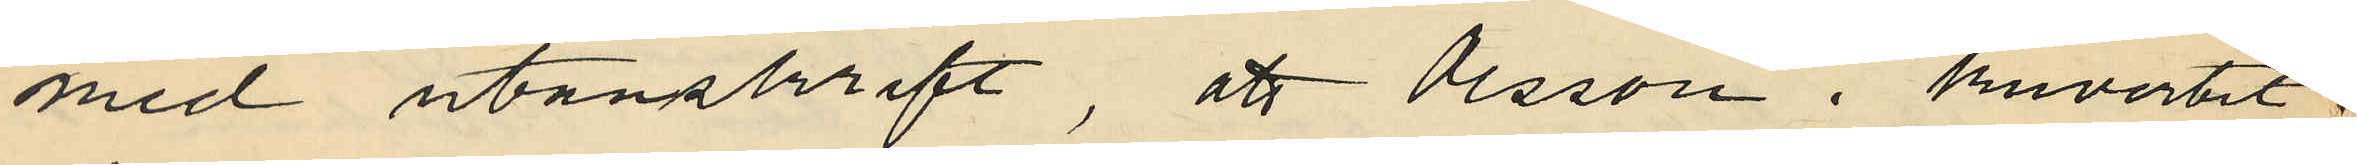med utanskrift, att Olsson i kuvertet
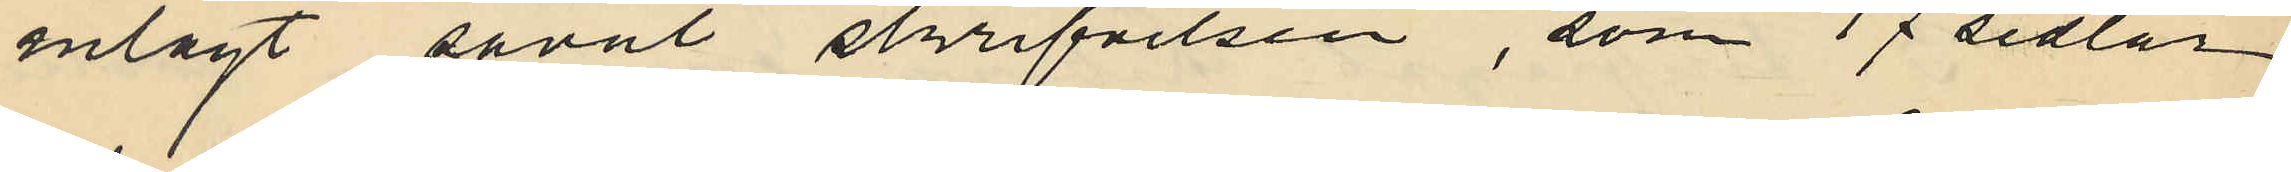inlagt såväl skrifvelsen, som 17 sedlar
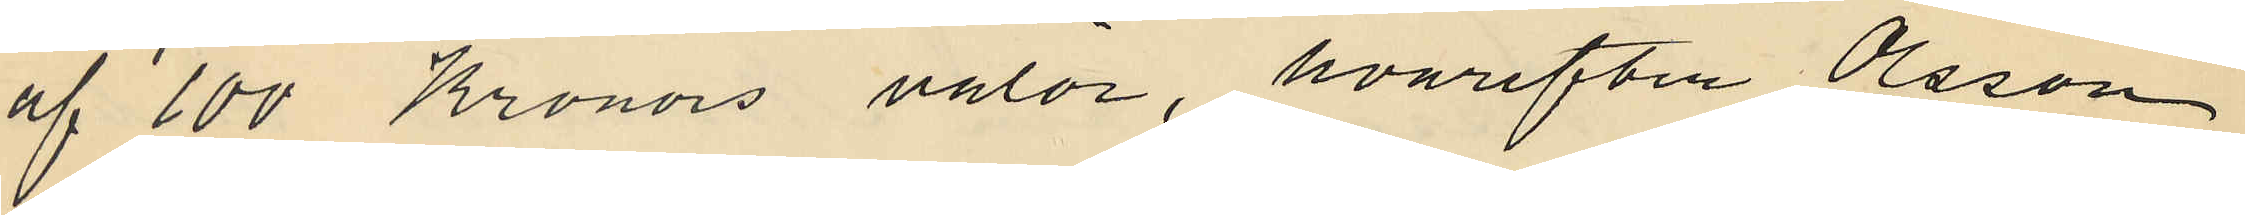af 100 Kronors valör, hvarefter Olsson
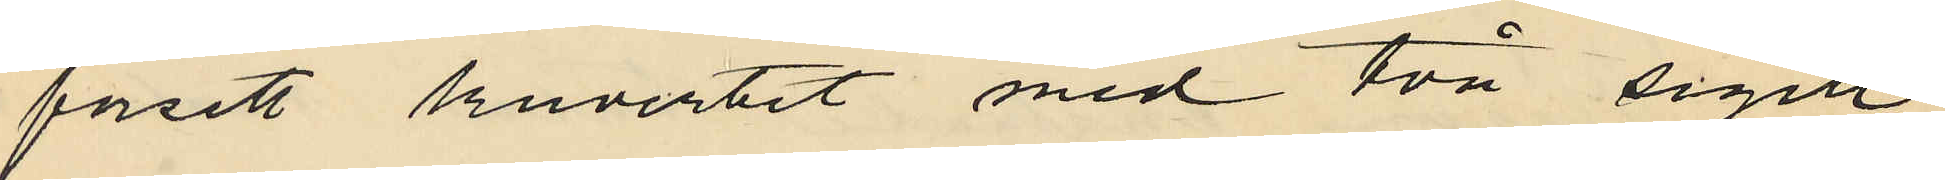försett kuvertet med två sigill;
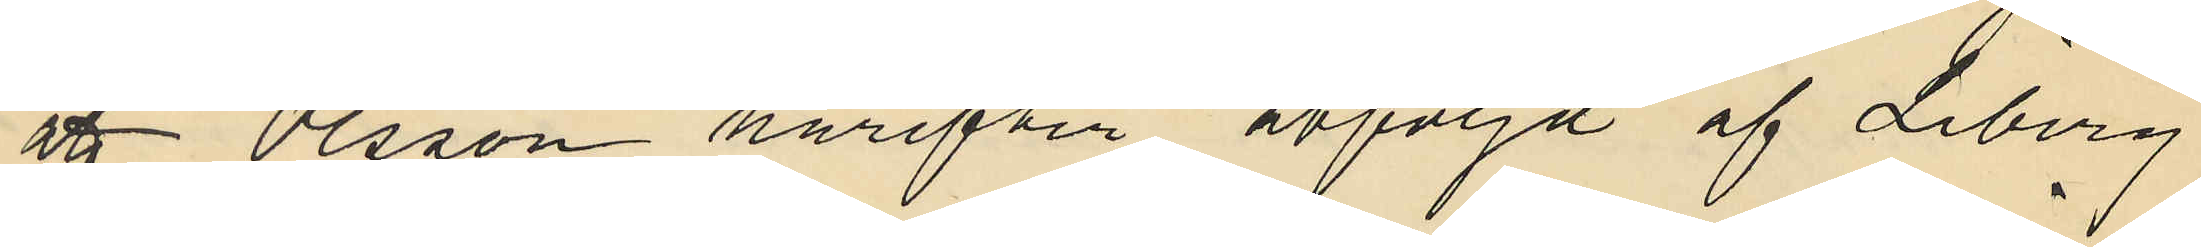att Olsson härefter åtföljd af Liberg
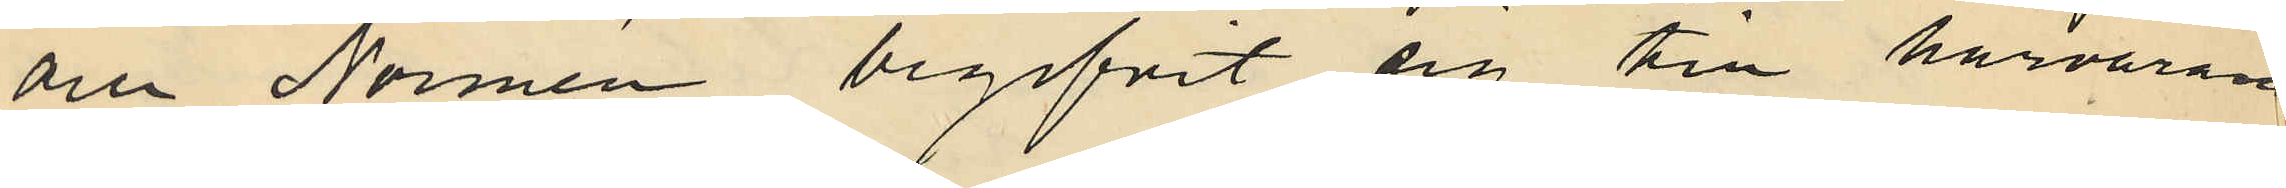och Normén begifvit sig till härvarande
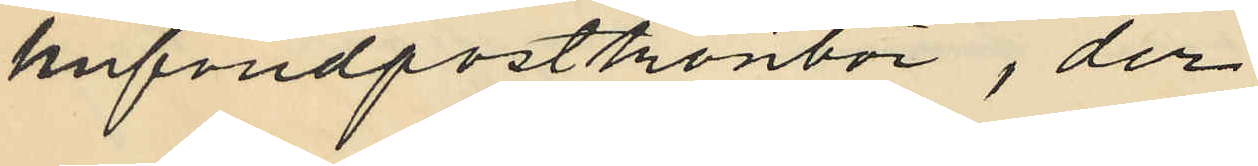hufvudpostkontor, der
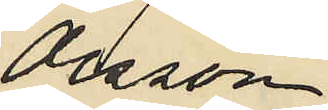Olsson
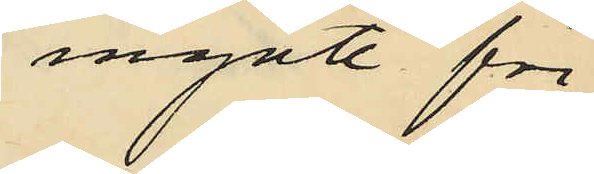ingått för
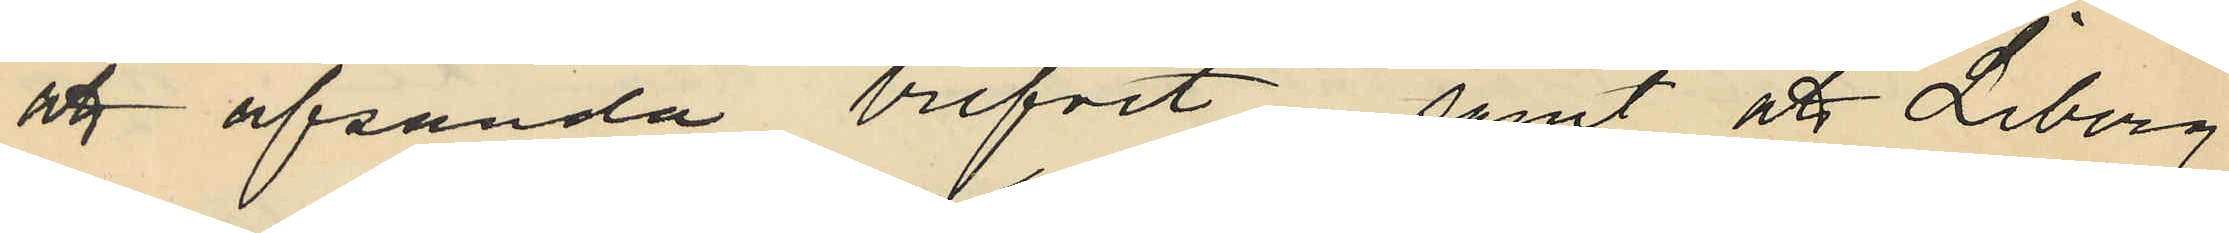att afsända brefvet, samt att Liberg
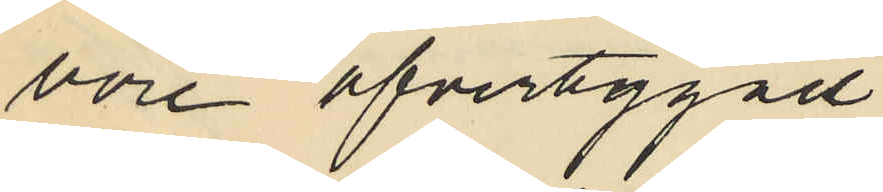vore öfvertygad
